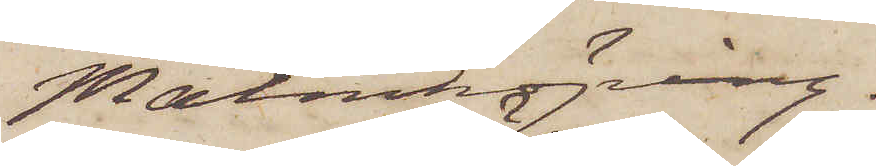Malmköping.
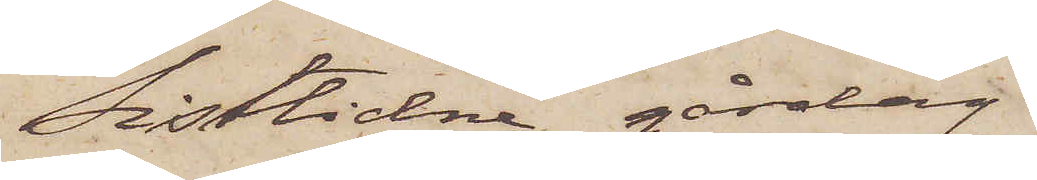Sistlidne gårdag
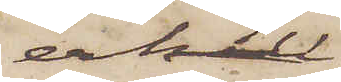erhöll
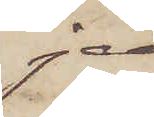jag
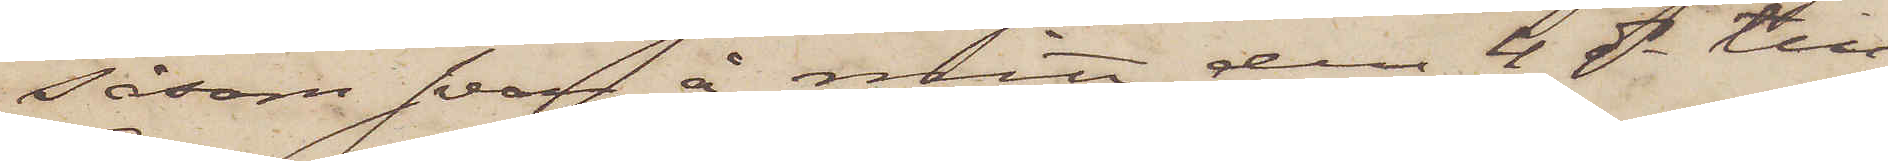såsom svar å mitt den 4 ds till
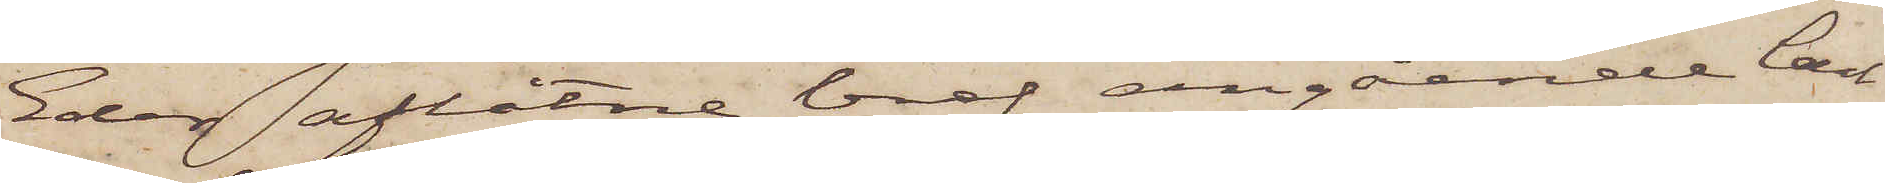Eder aflåtne bref angående Carl
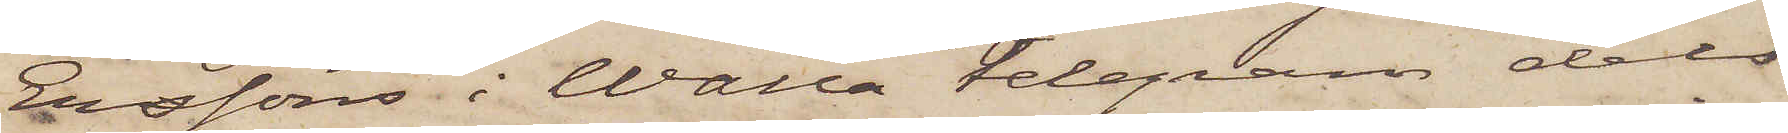Erssons i Walla telegram dels
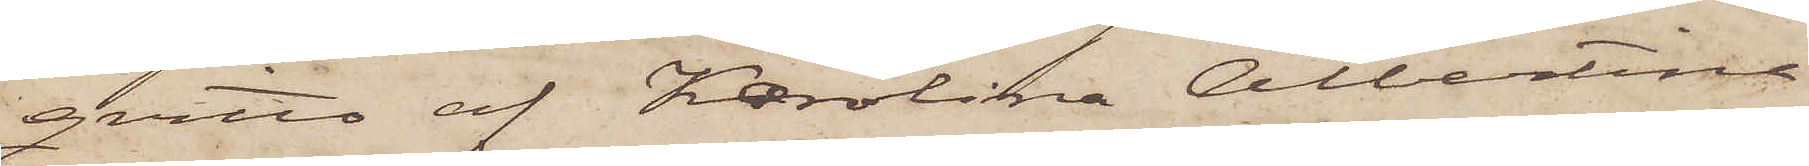qvitto af Karolina Albertina
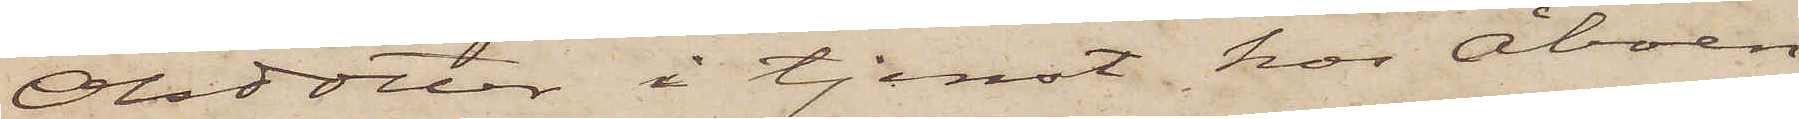Olsdotter i tjenst hos Åboen
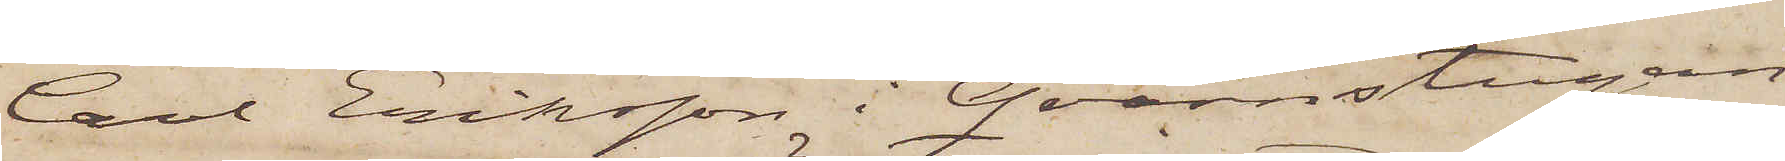Carl Eriksson i Qvarnstugan
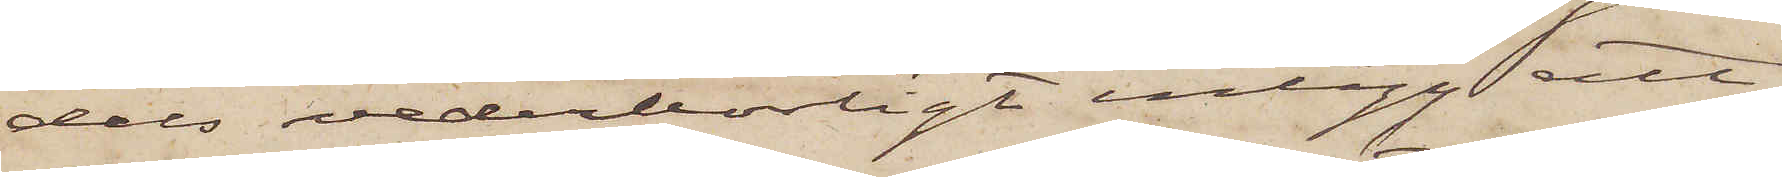dels vederbörligt intyg att
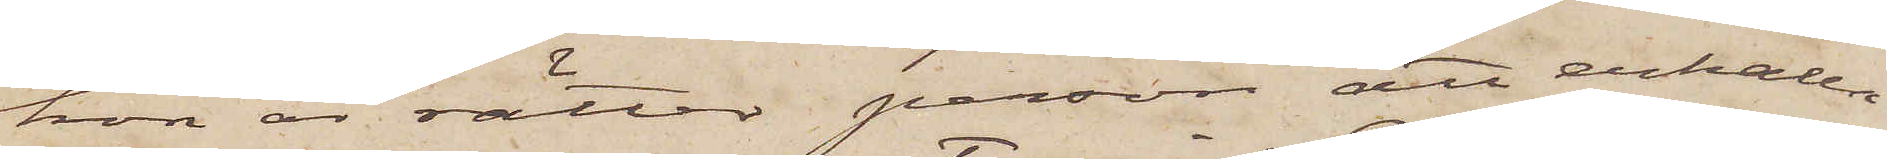hon är rätter person att erhålla
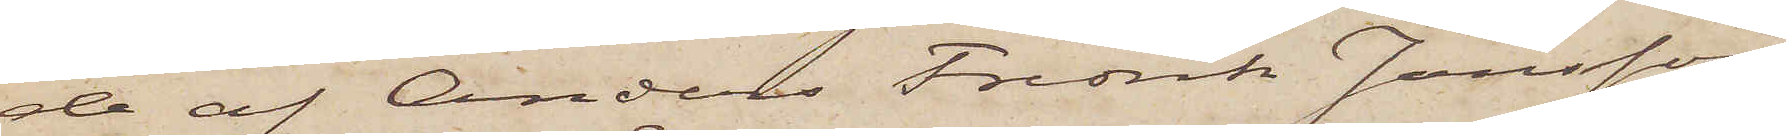de af Anders Fredrik Jansson
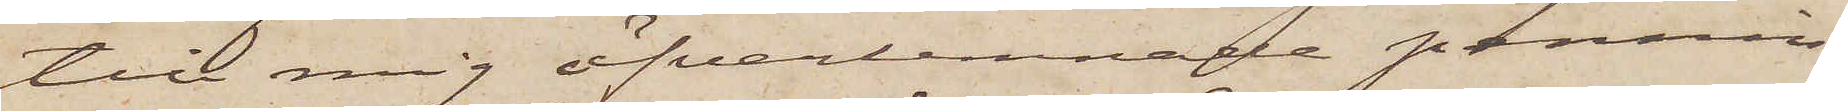till mig öfverlemnade pennin¬
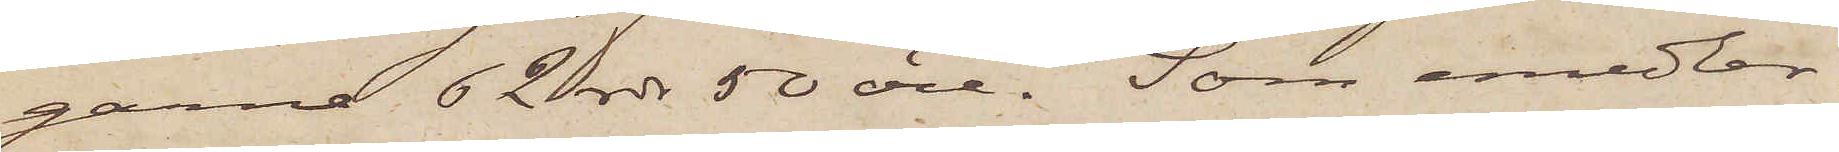garne 62 rdr 50 öre. Som emedler¬
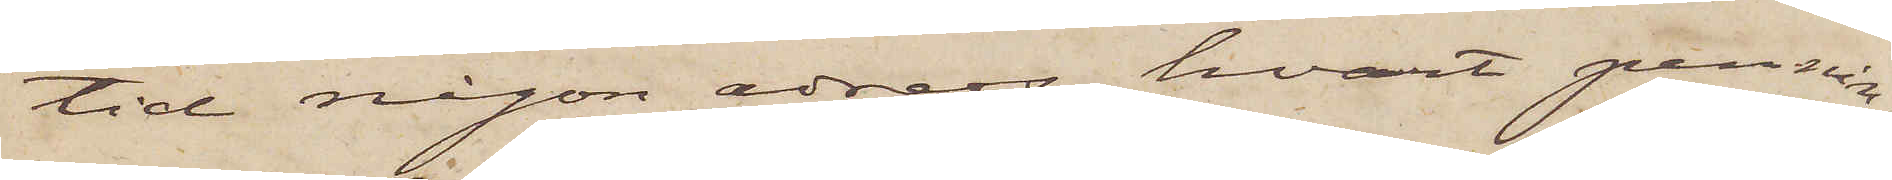tid någon adress hvart pennin¬
